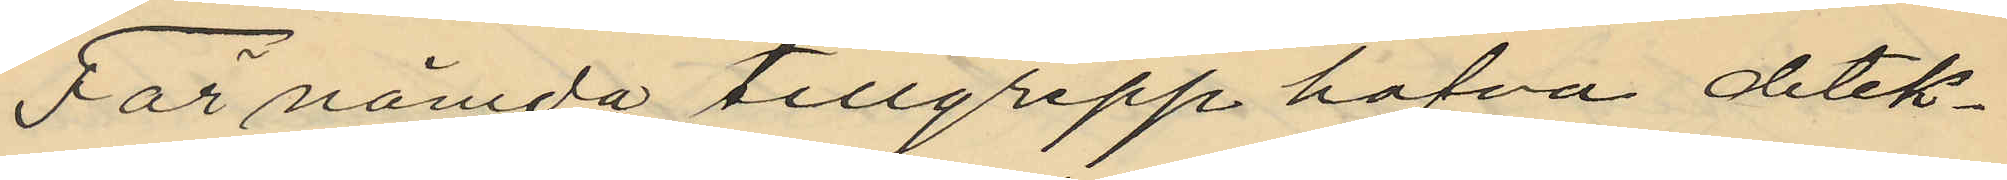För nämda tillgrepp hafva detek¬
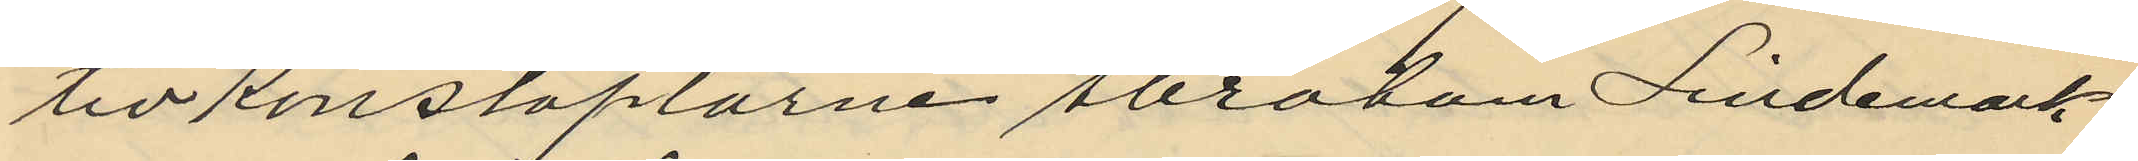tivkonstaplarne Abraham Lindemark
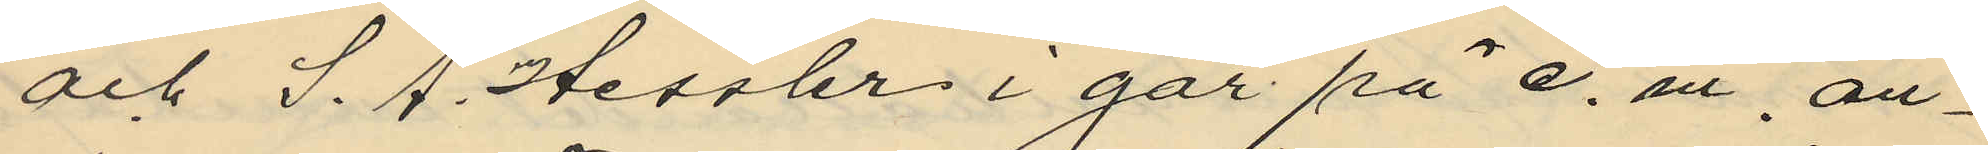och S. A. Hessler i går på e. m, an¬
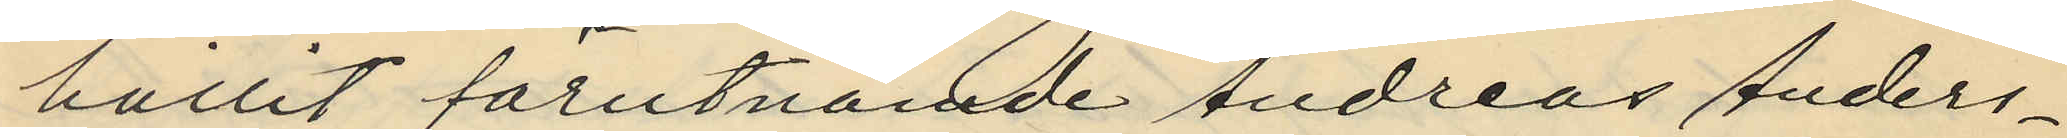hållit förutnämde Andreas Anders¬
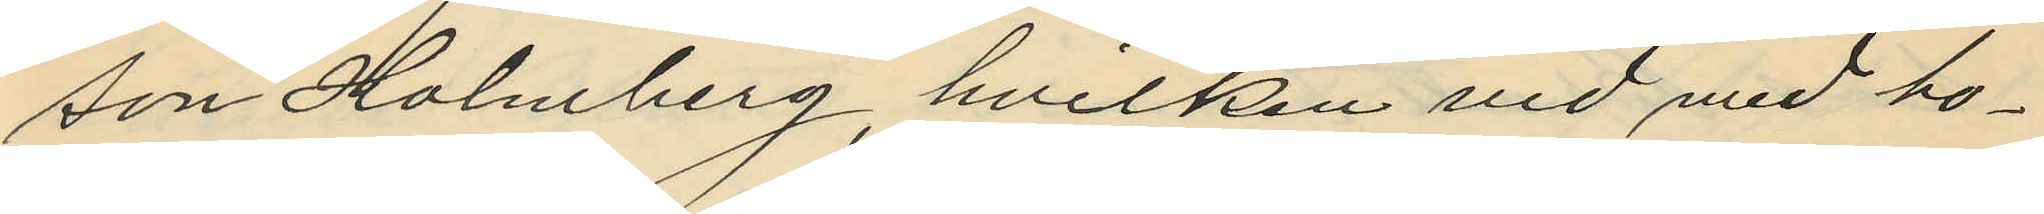son Holmberg, hvilken vid med ho¬
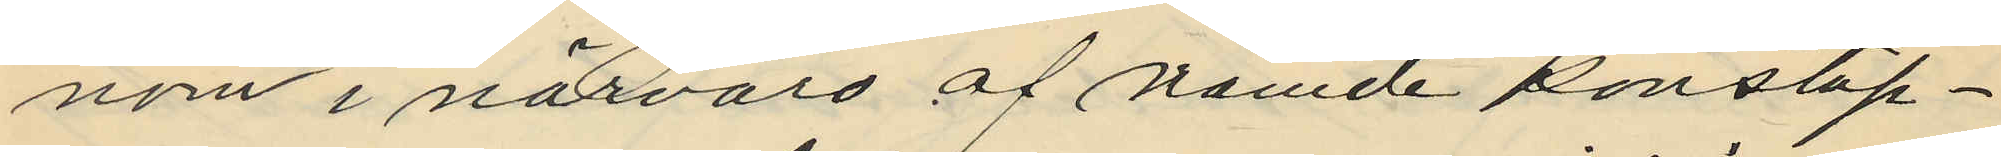nom i närvaro af nämde konstap¬
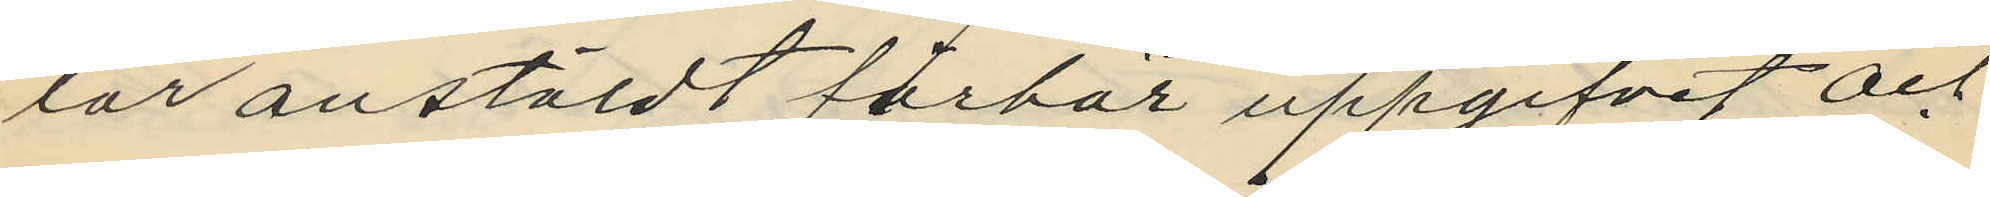lar anstäldt förhör uppgifvit och
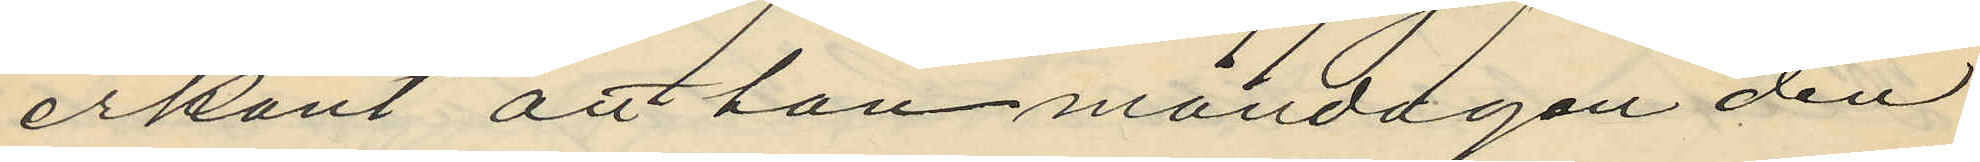erkänt att han måndagen den
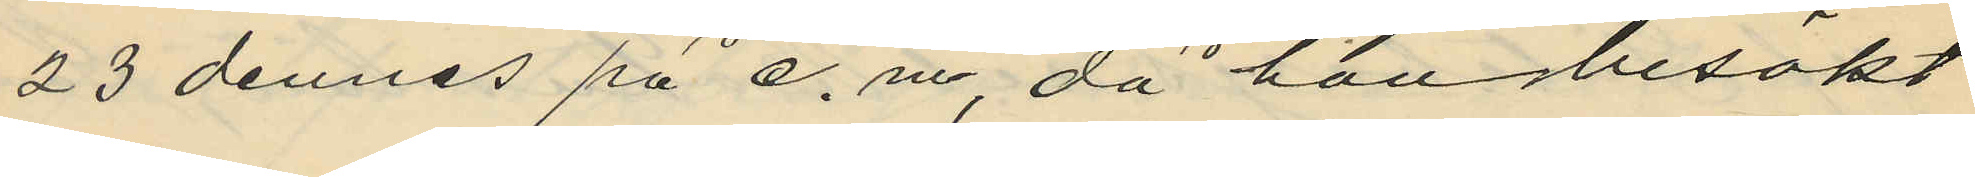23 dennes på e.m, då han besökt
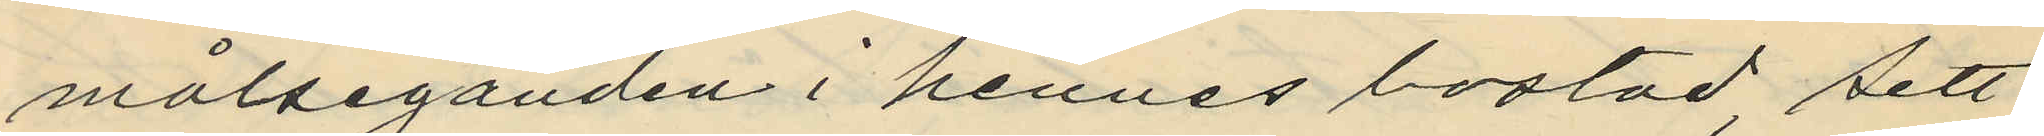målseganden i hennes bostad, sett
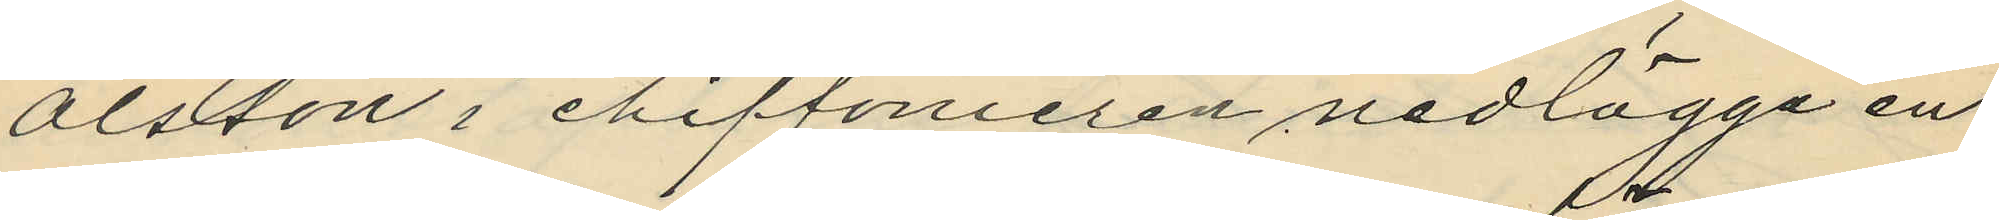Olsson i chiffonieren nedlägga en
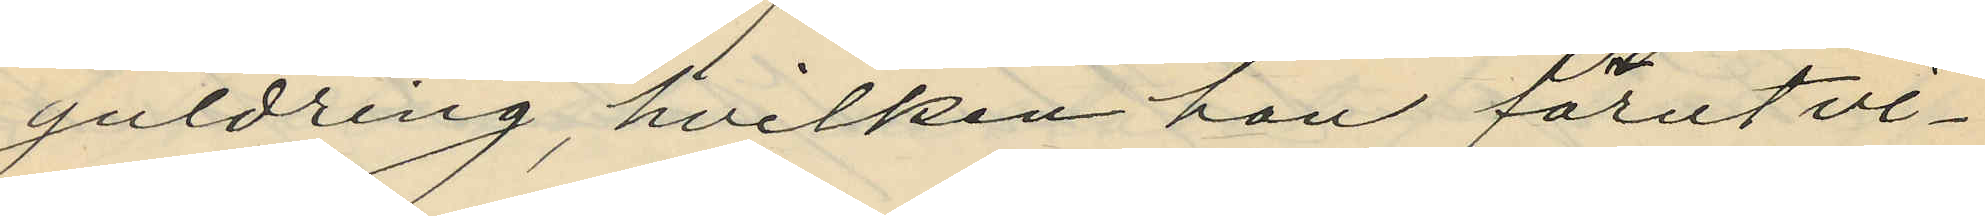guldring, hvilken hon förut vi¬
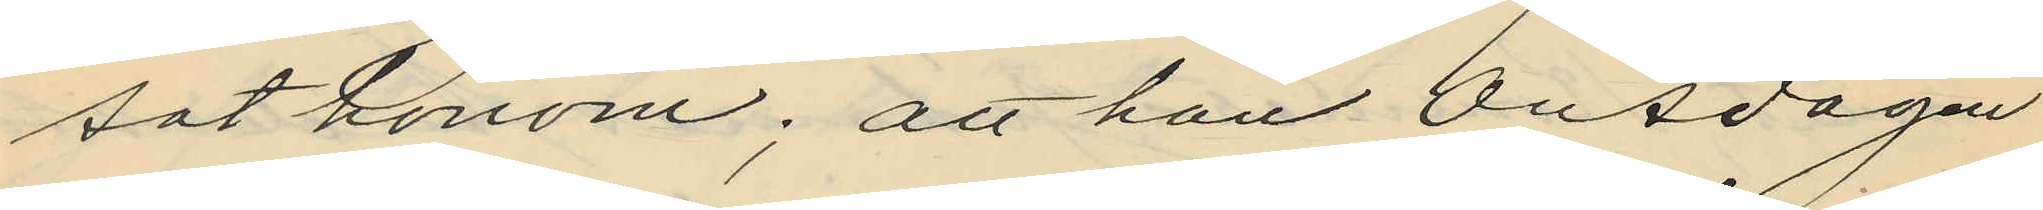sat honom; att han Onsdagen
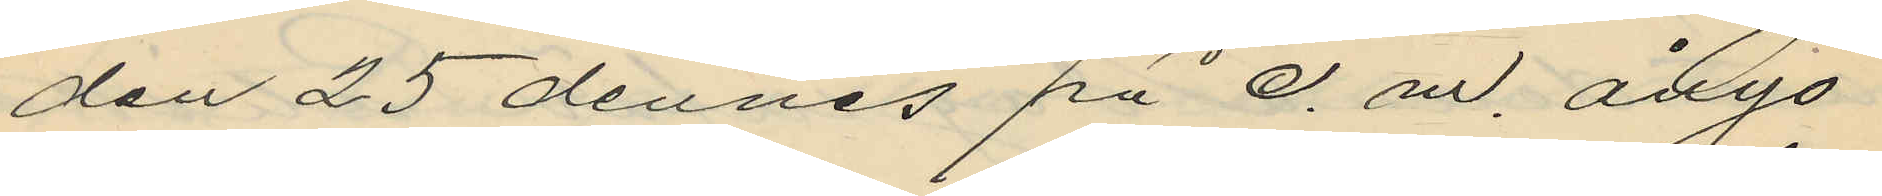den 25 dennes på e. m. ånyo
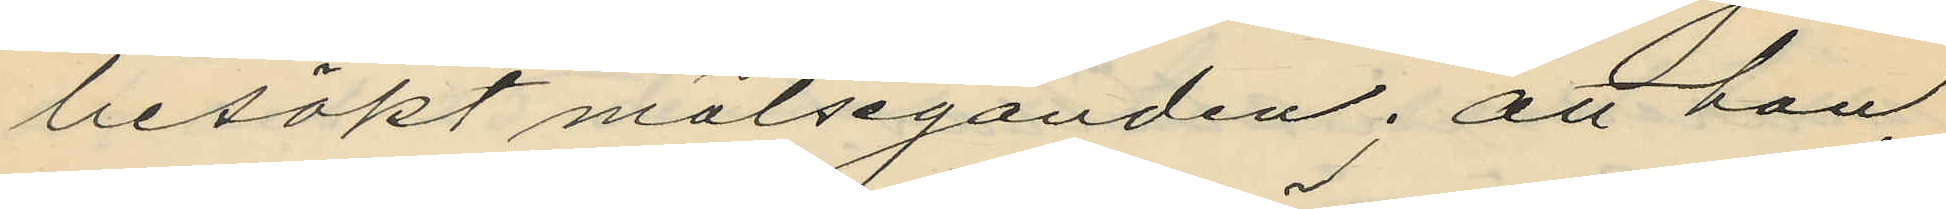besökt målseganden; att han
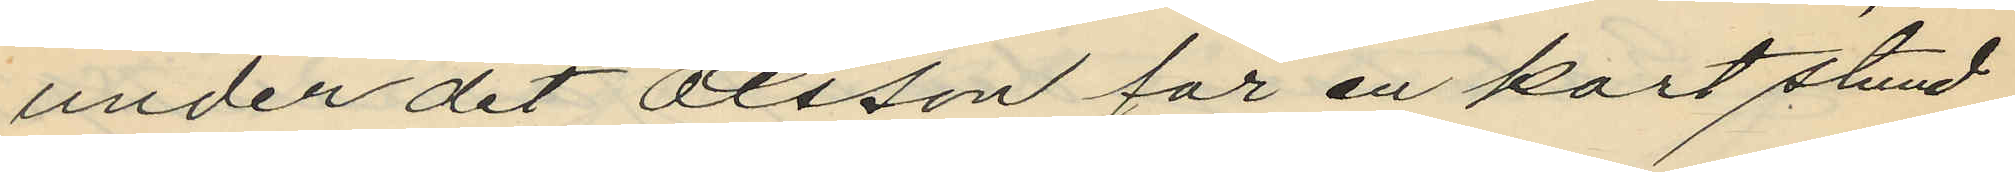under det Olsson för en kort stund
